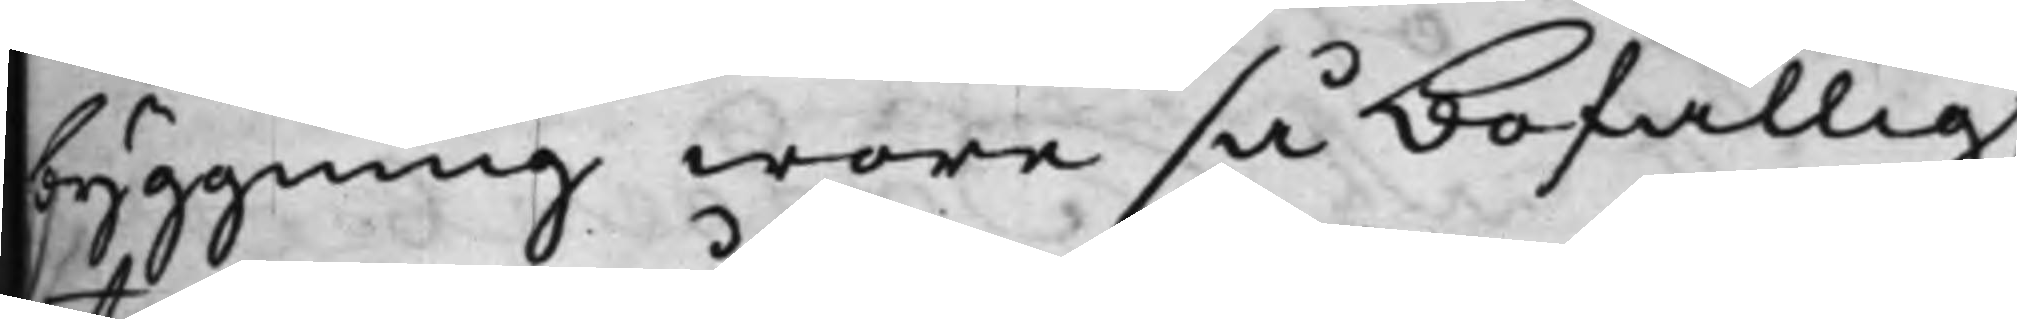byggning wore så bofällig,
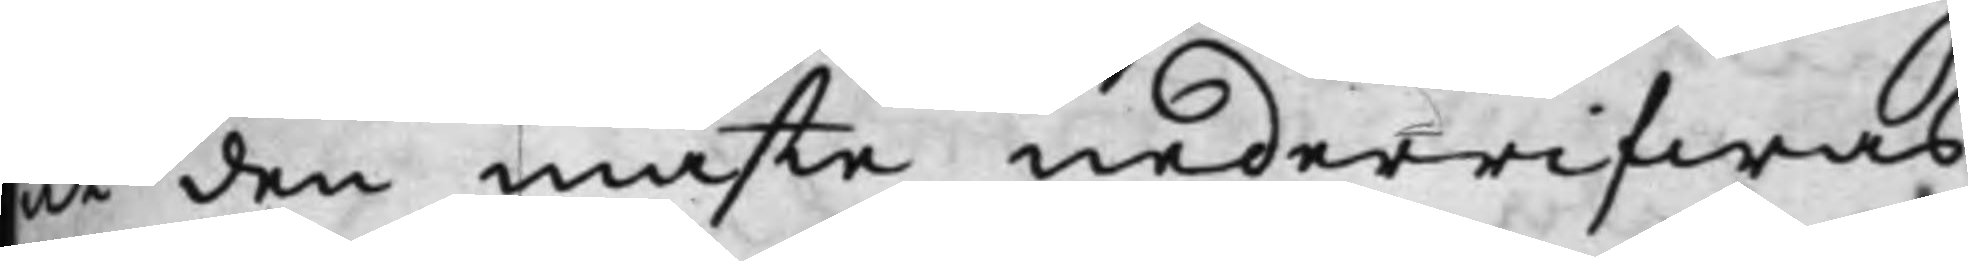at den måste nederrifwas,
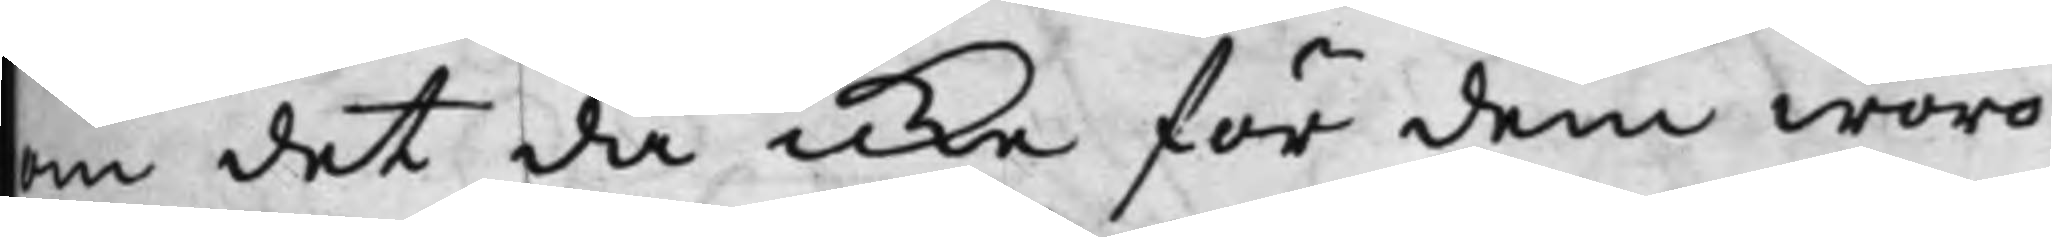om det då icke för dem woro
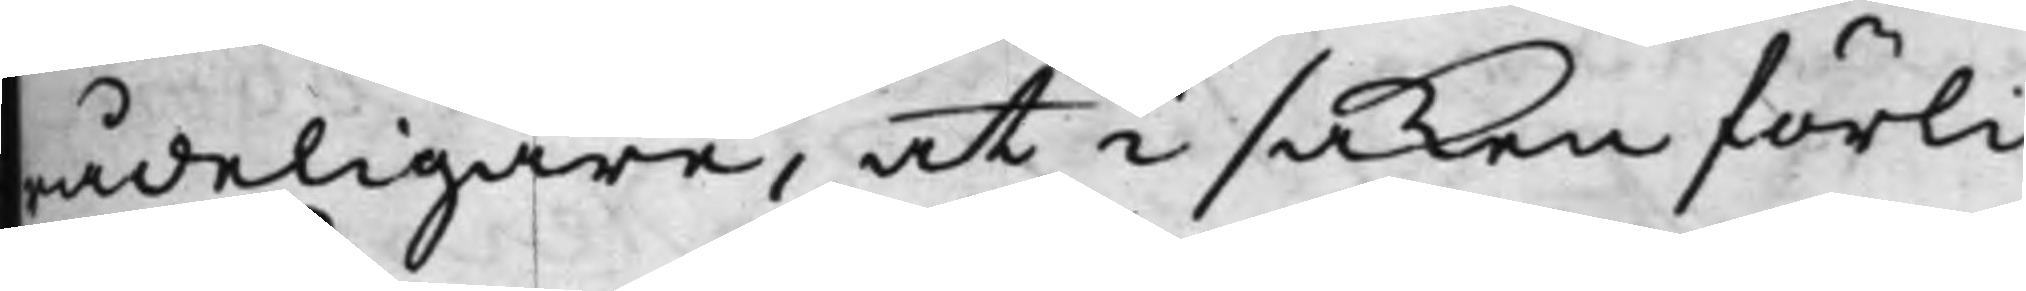rådeligare, at i saken förli¬
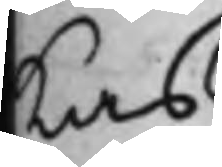kas.
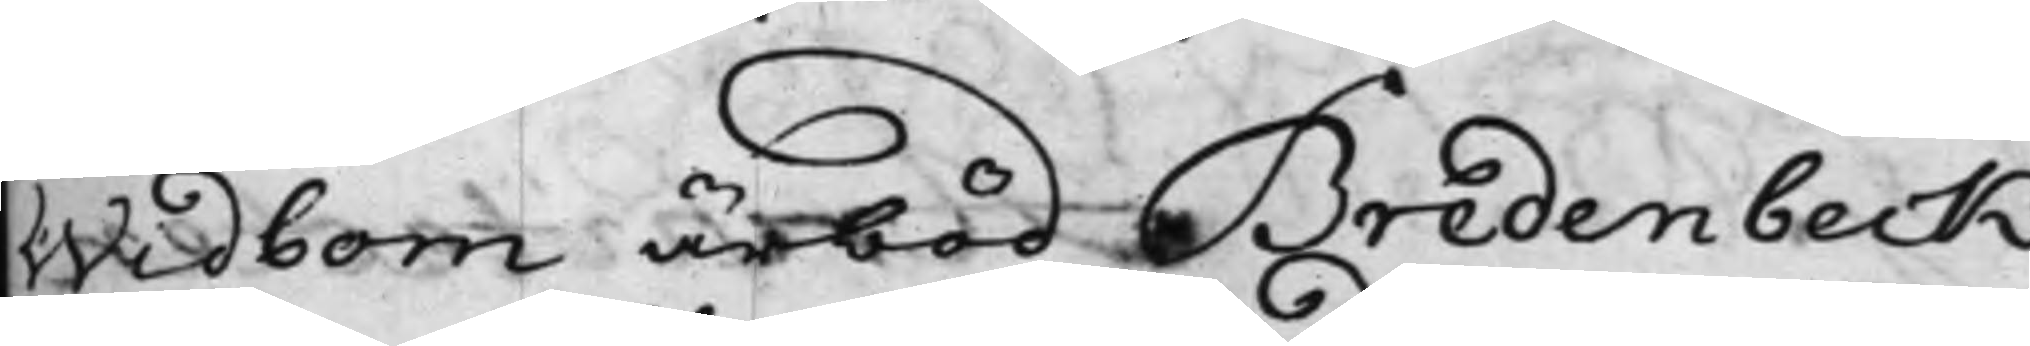Widbom ärböd Bredenbeck
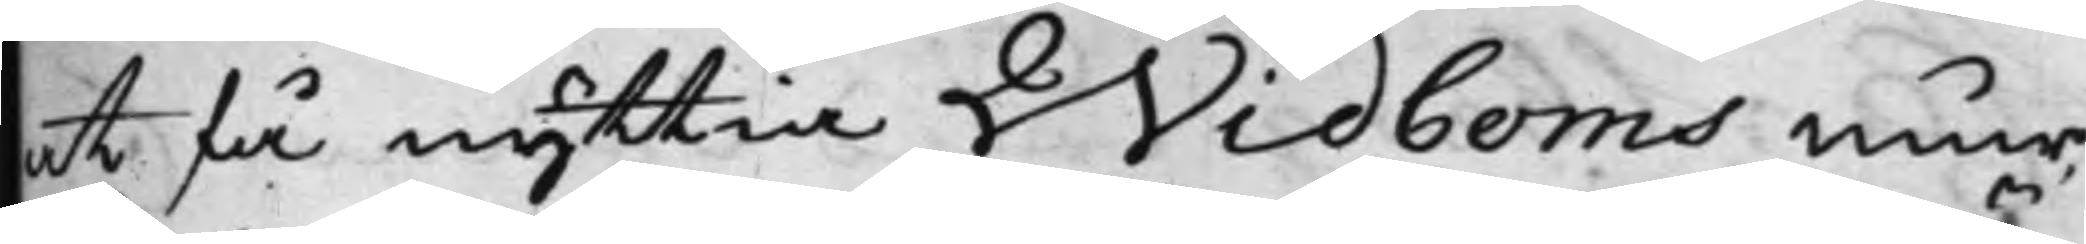at få nyttia Widboms mur
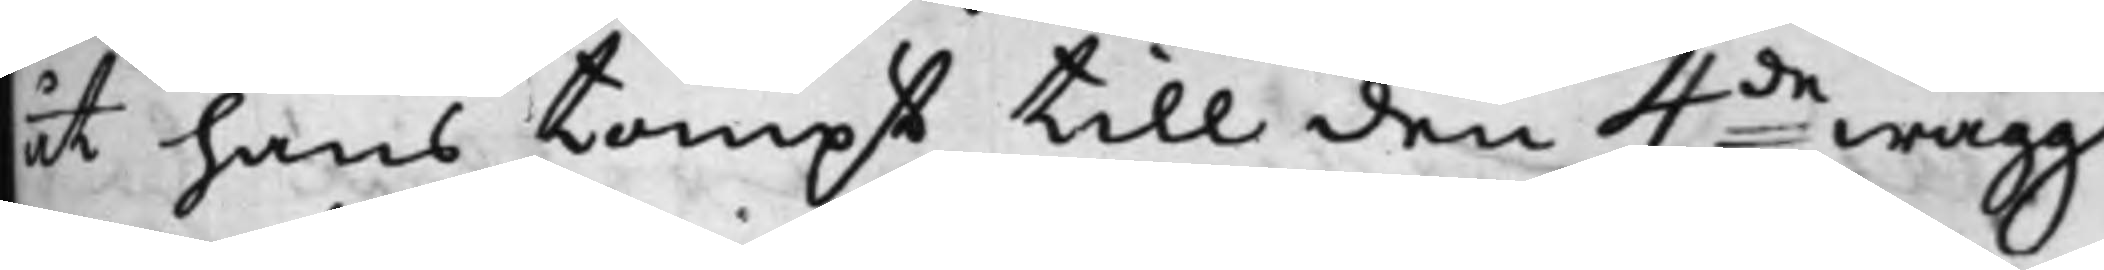åt hans tompt till den 4de wägg
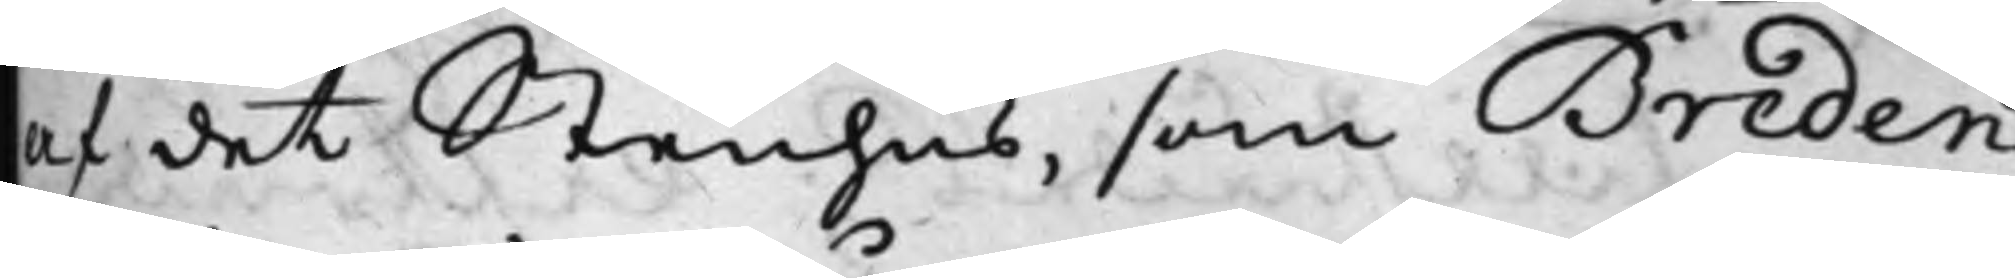af det Stenhus, som Breden¬
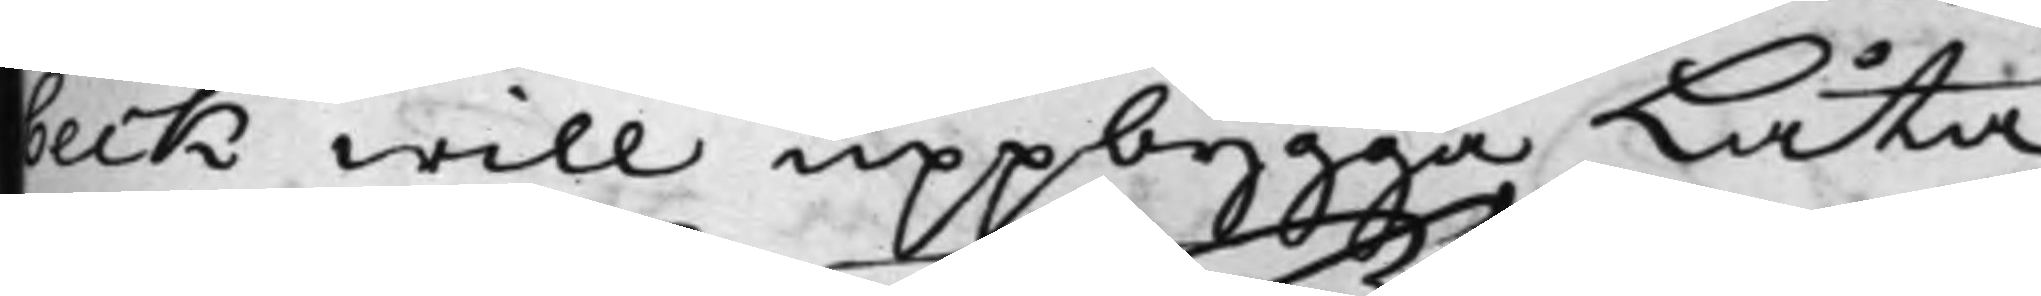beck will uppbygga Låta
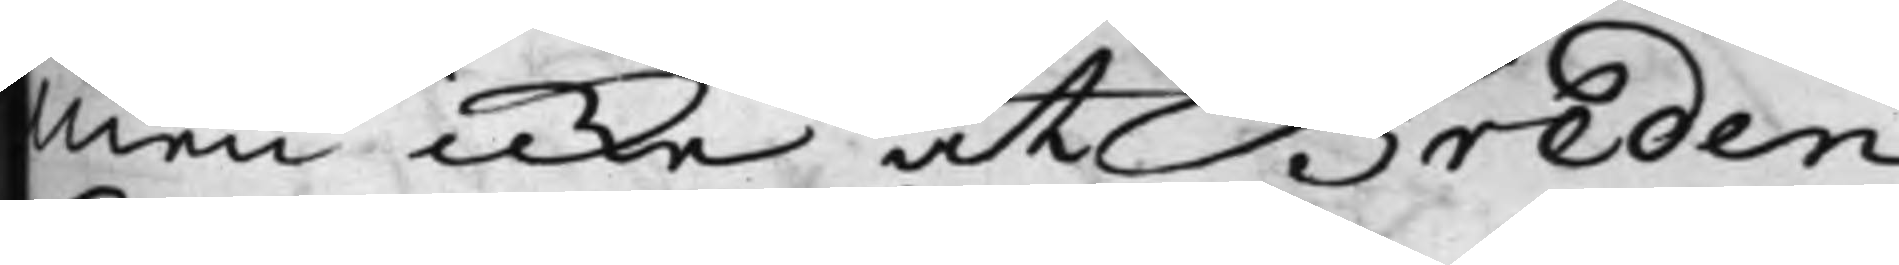Men icke at Breden¬
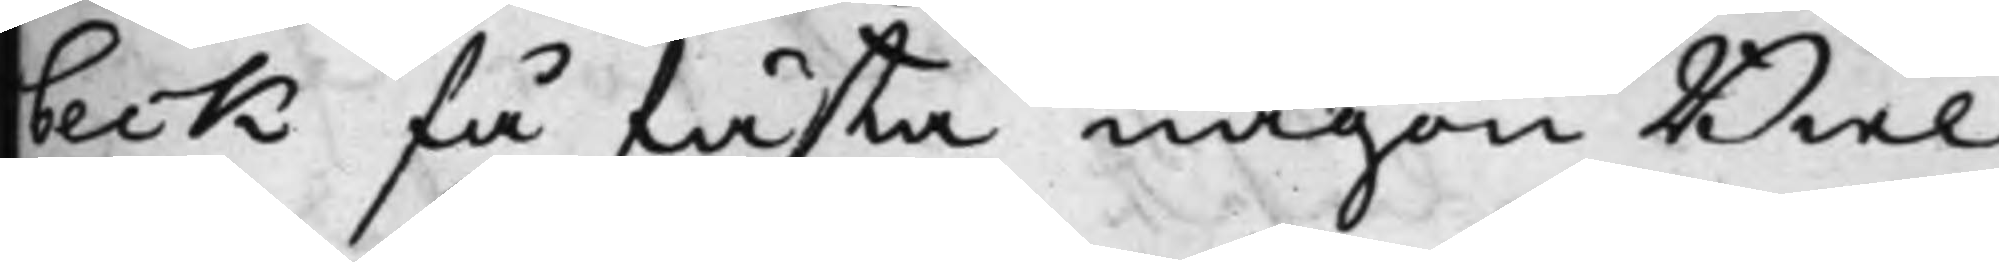beck få fästa någon Biel¬
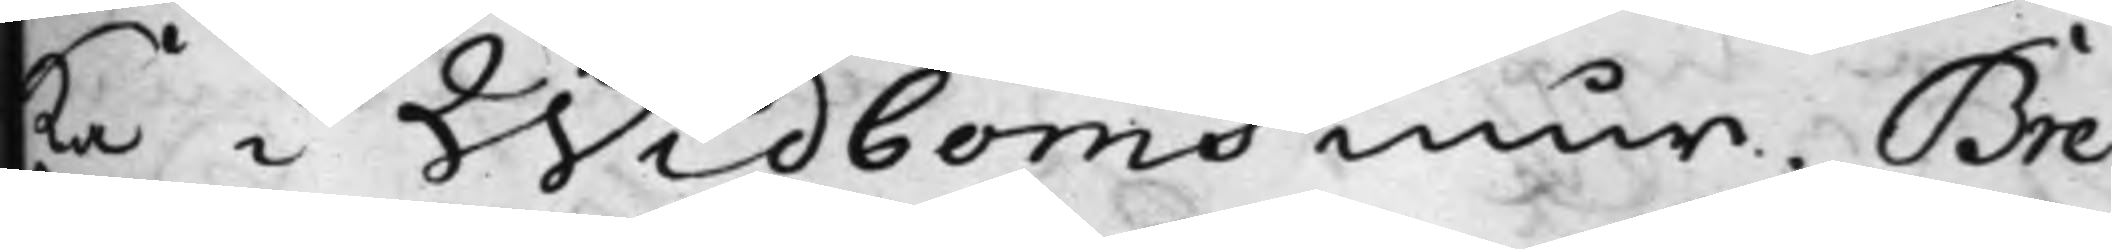ka i Widboms mur. Bre¬
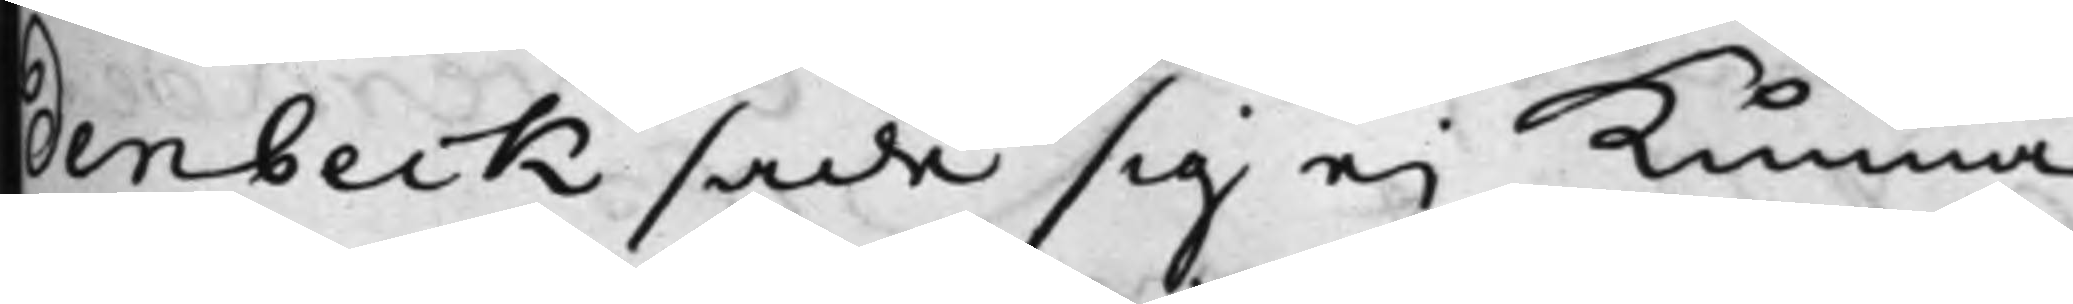denbeck sade sig ei Kunna
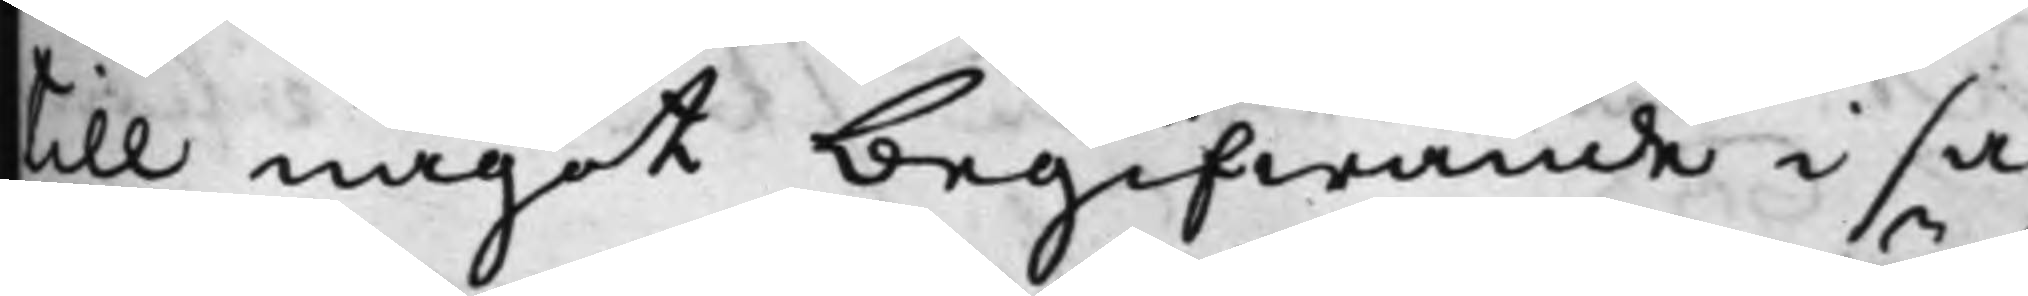till något begifwande i sa¬
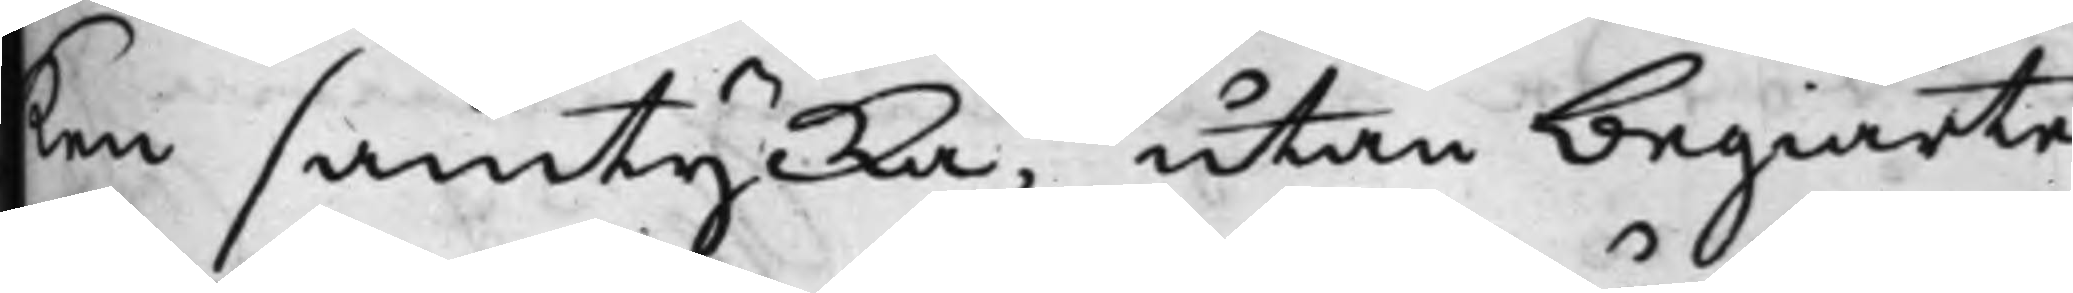ken samtycka, utan begiärte
